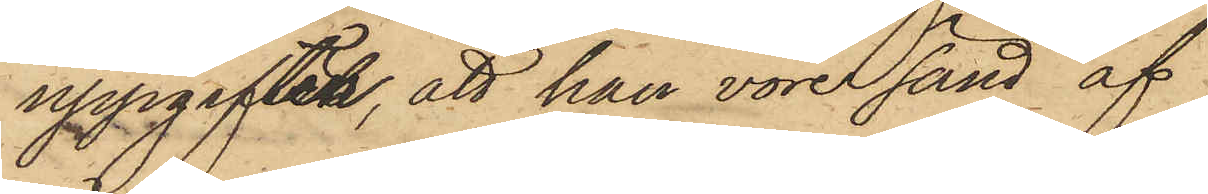uppgiften, att han vore sänd af
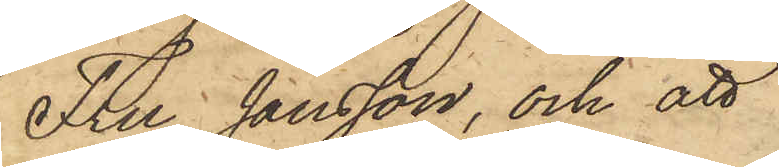Fru Jansson, och att
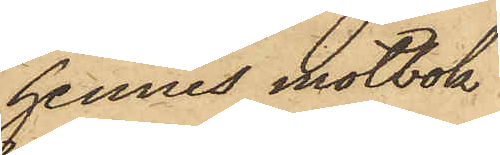hennes motbok
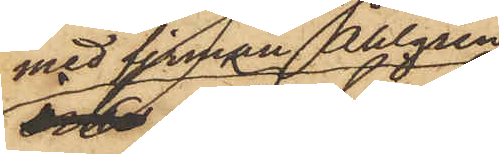med firman Ahlgren
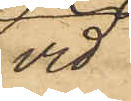vid
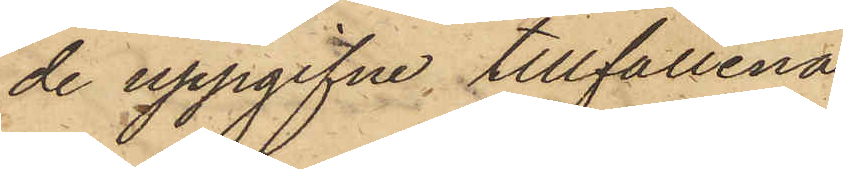de uppgifne tillfällena
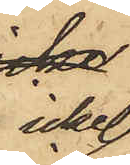icke
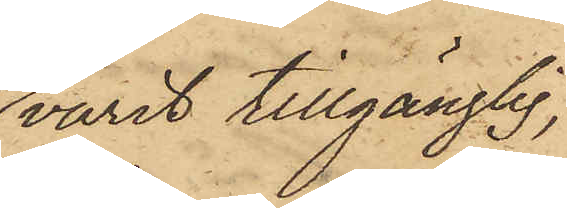varit tillgänglig,
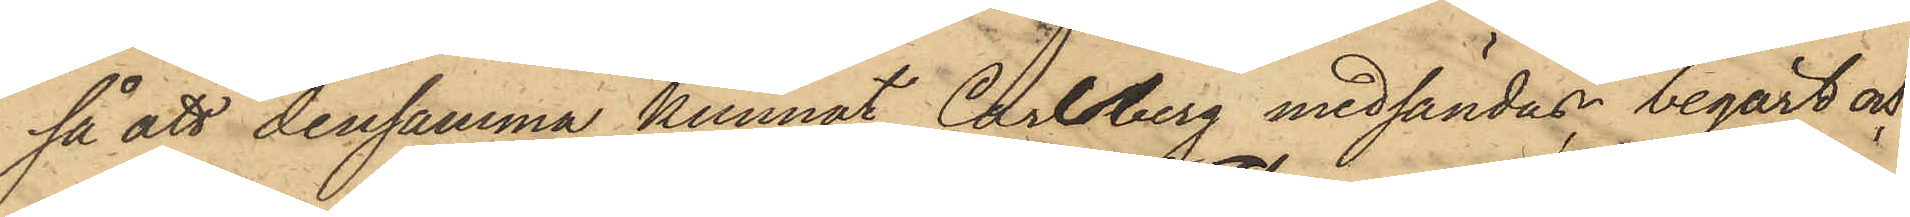så att densamma kunnat Carlsberg medsändas, begärt och
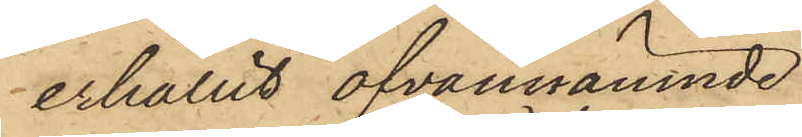erhållit ofvannämnde
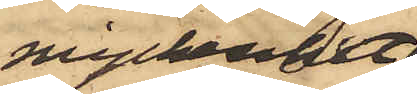myckenhet
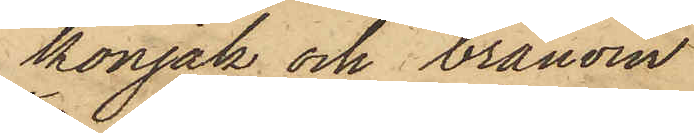konjak och brännvin.
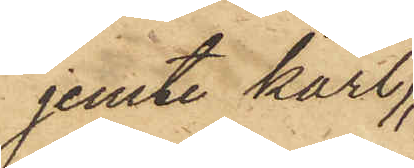jemte kärl
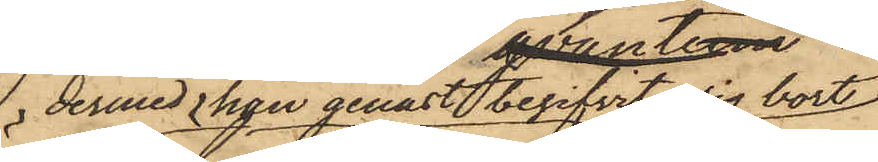dermed han genast begifvit sig bort;
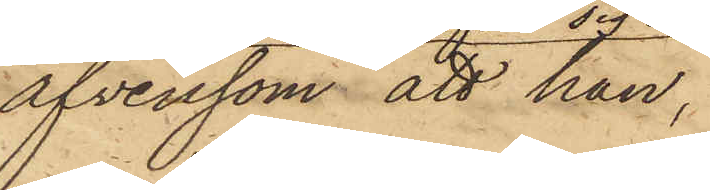äfvensom att han,
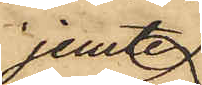jemte
